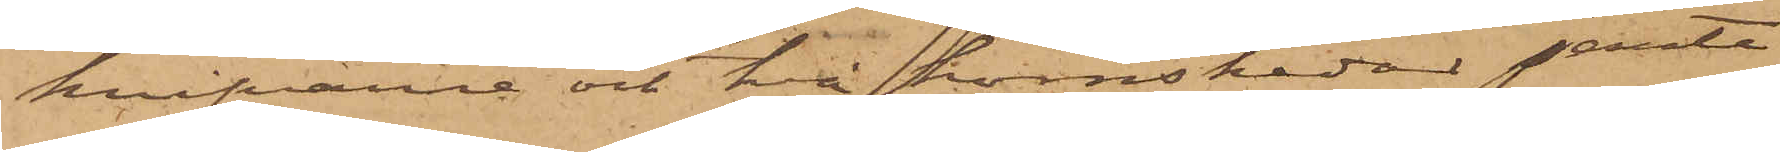knifvarne och två hornskedar jemte
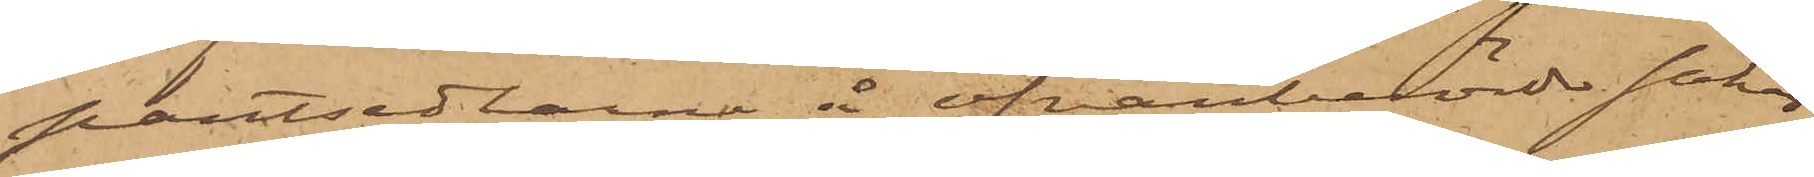pantsedlarne å ofvanberörde saker
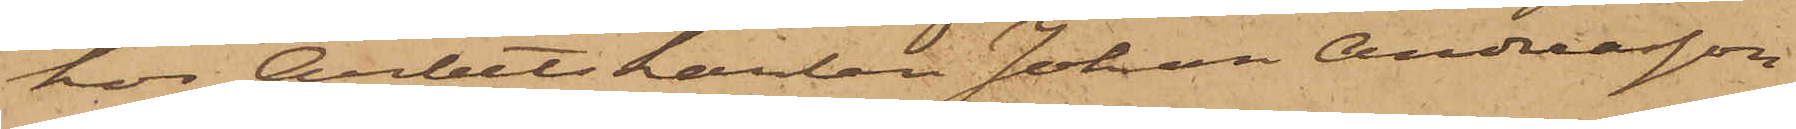hos Arbetskarlen Johan Andreasson
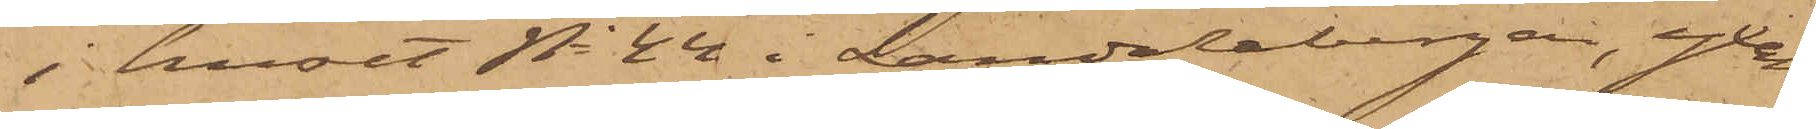i huset No 44 i Landalabergen, yxan
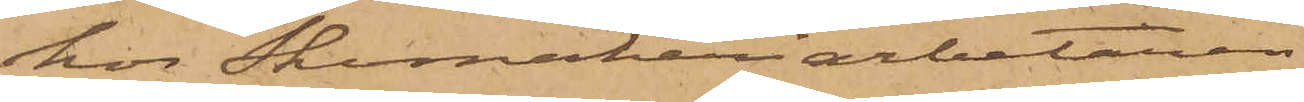hos Skomakeriarbetaren
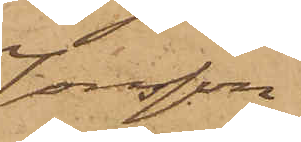Jonsson
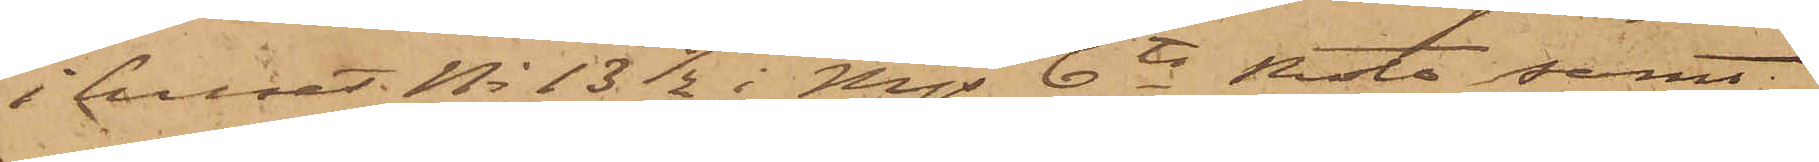i huset No 13 1/2 i Mjs 6te Rote samt
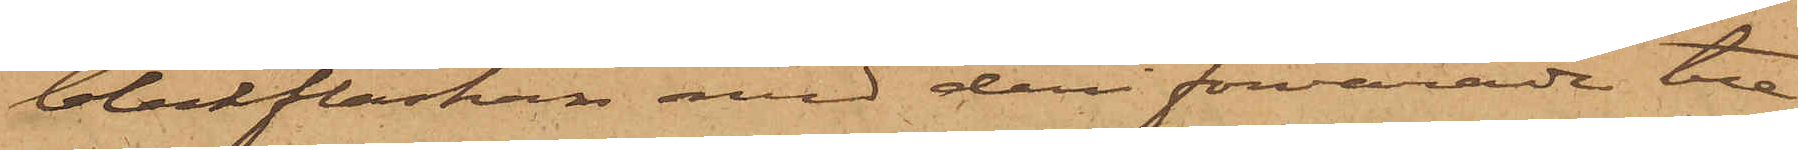bleckflaskan med deri förvarade tre
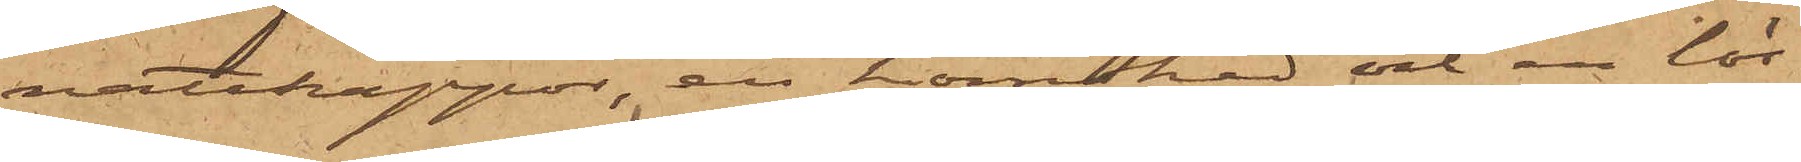nattkappor, en hornsked och en lös¬
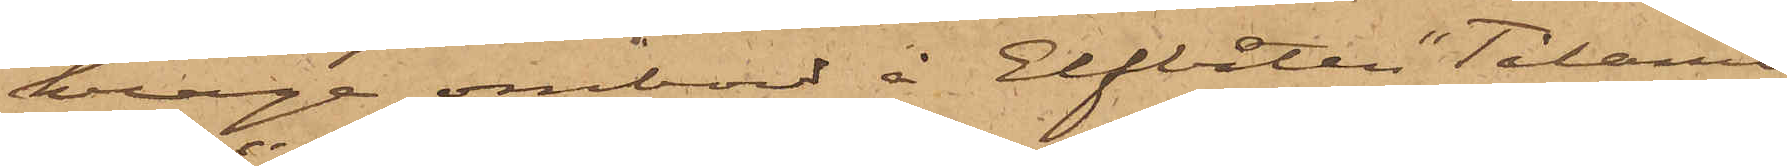krage ombord å Elfbåten "Tålamo¬
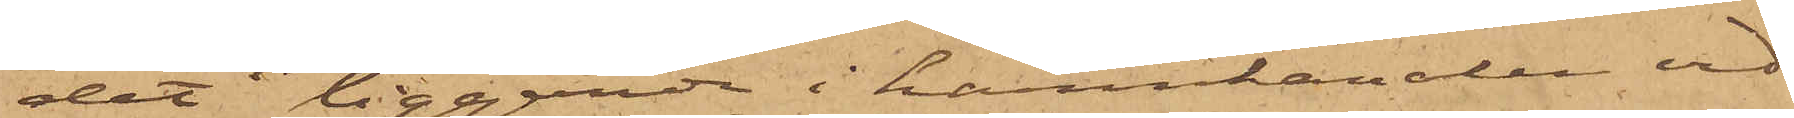det" liggande i hamnkanalen vid
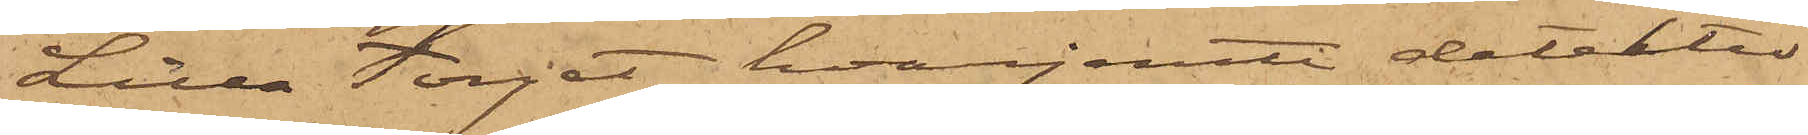Lilla Torget, hvarjemte detektiv¬
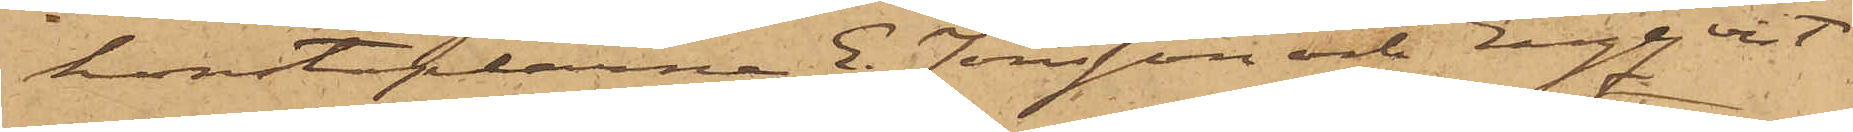konstaplarne E. Jönsson och Engqvist
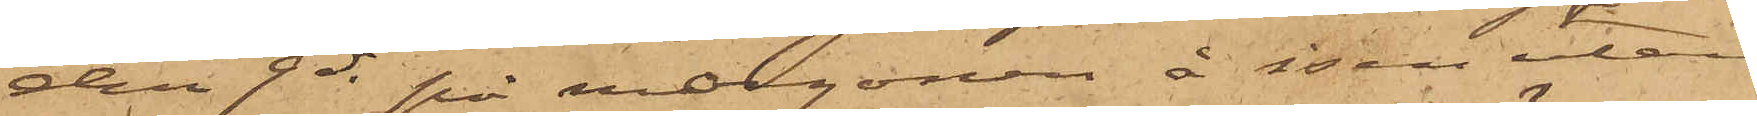den 9 ds på morgonen å isen utan¬
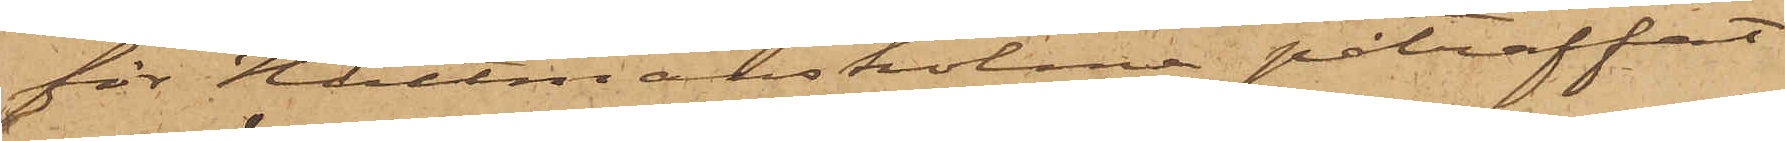för Hultmans holme påträffat
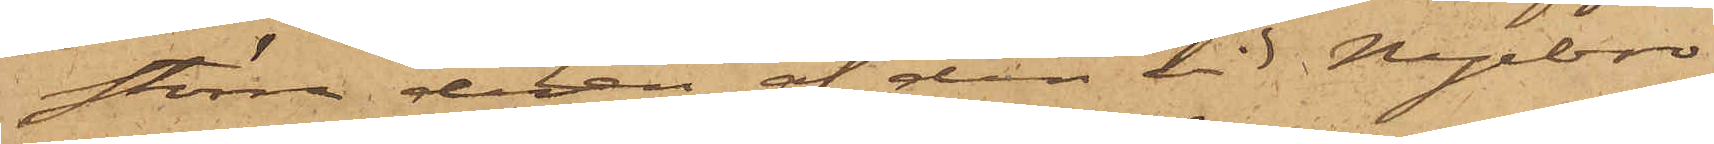större delen af den vid Nyebro
